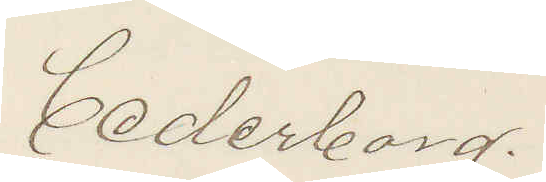Cederborg.
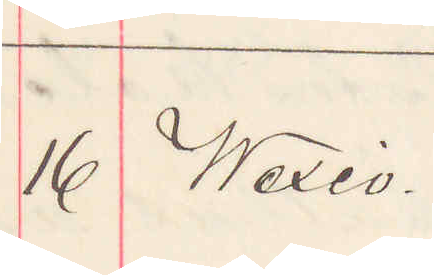16 Wexiö.
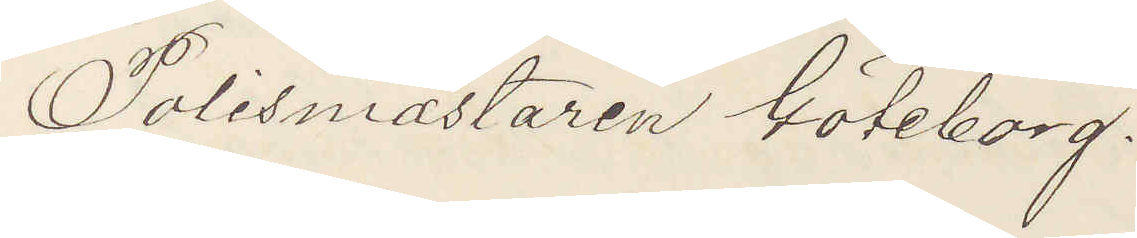Polismästaren Göteborg.
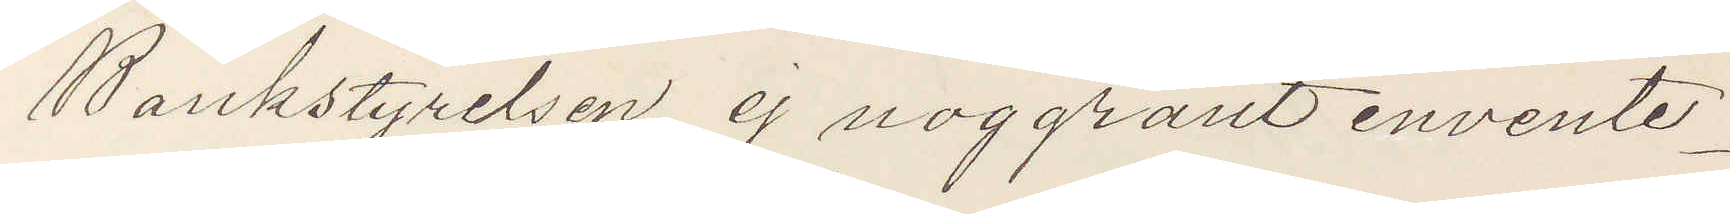Bankstyrelsen ej noggrant invente¬
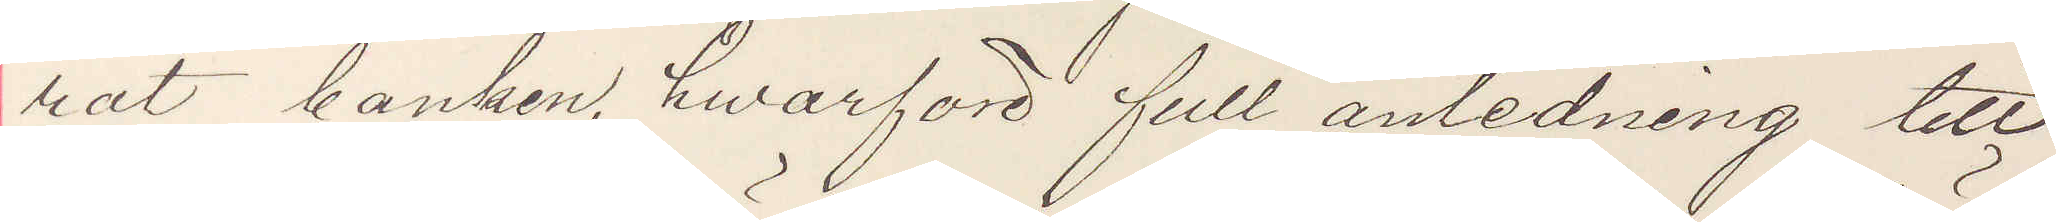rat banken, hwarföre full anledning till
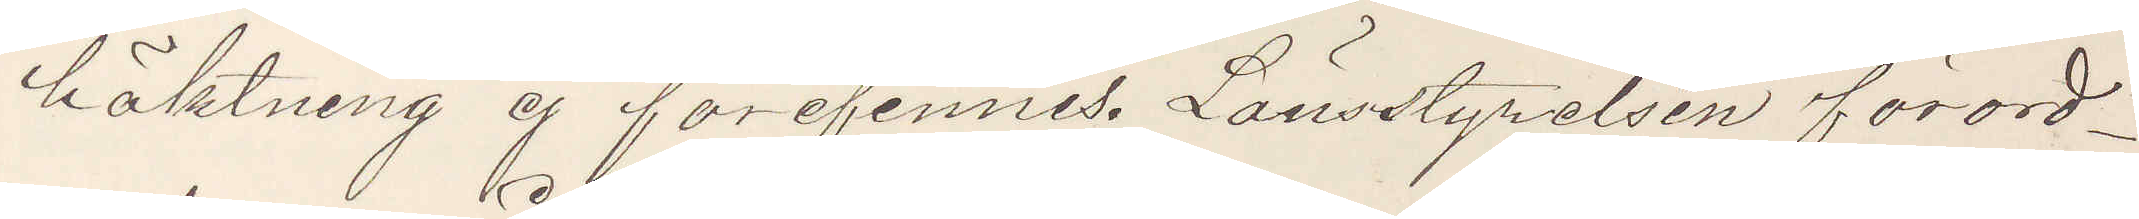häktning ej förefinnes. Länsstyrelsen förord¬
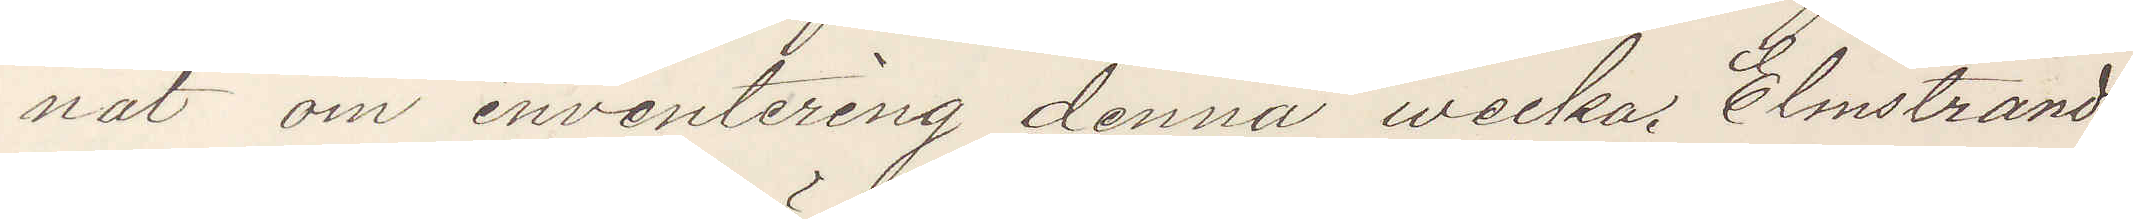nat om inventering denna wecka. Elmstrand
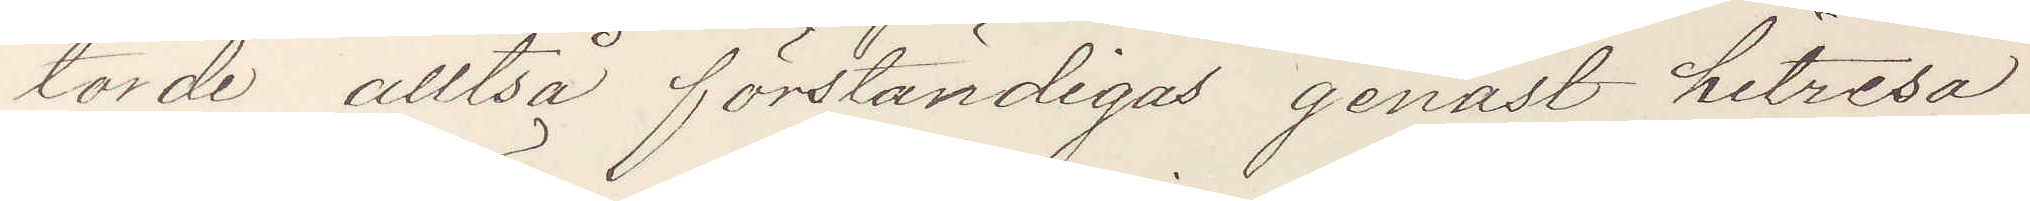torde alltså förständigas genast hitresa
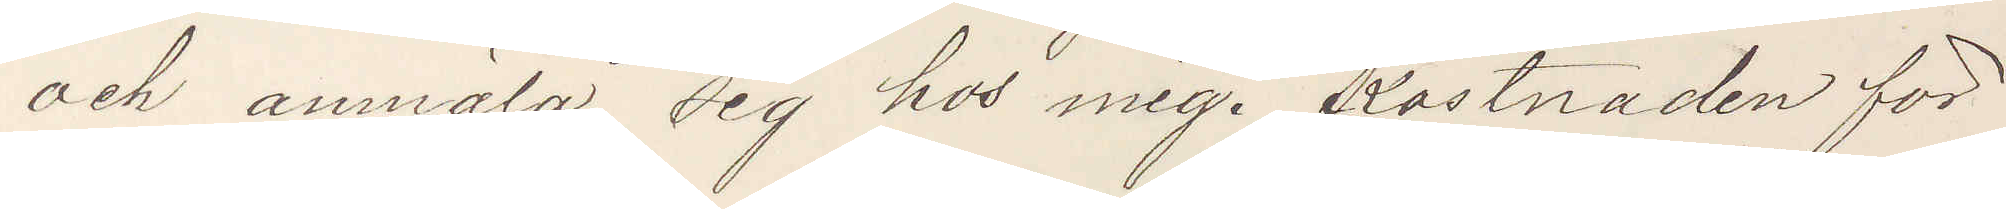och anmäla sig hos mig. Kostnaden för
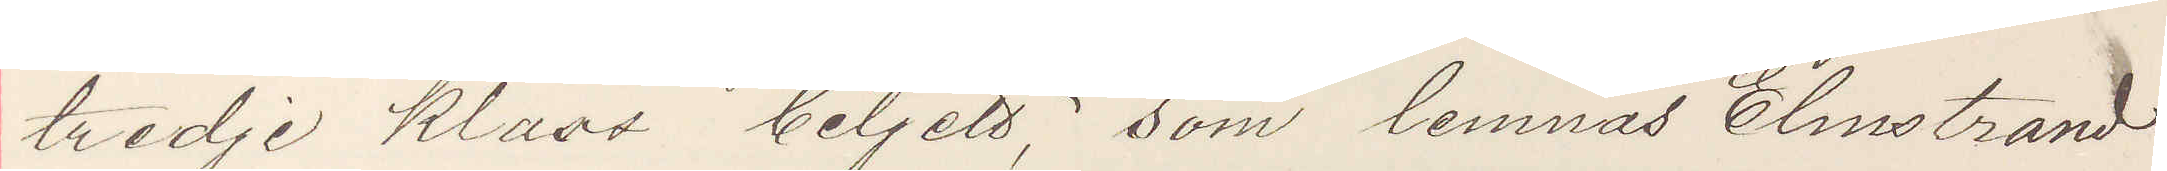tredje klass biljett, som lemnas Elmstrand
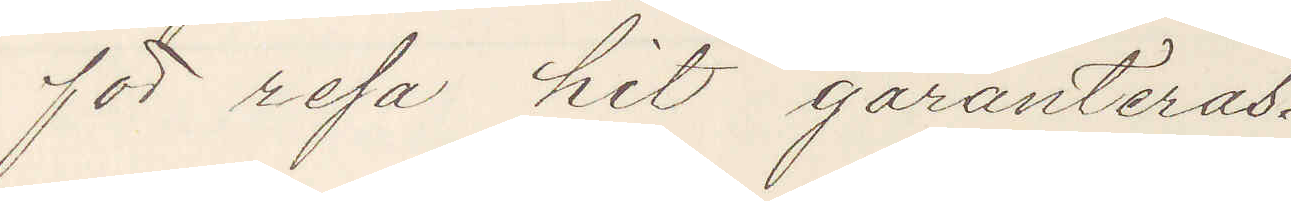för resa hit garanteras.
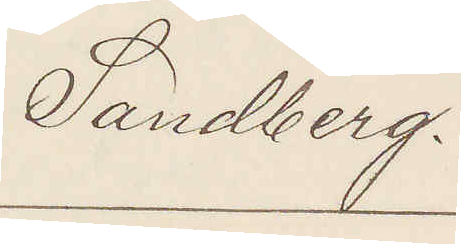Sandberg.
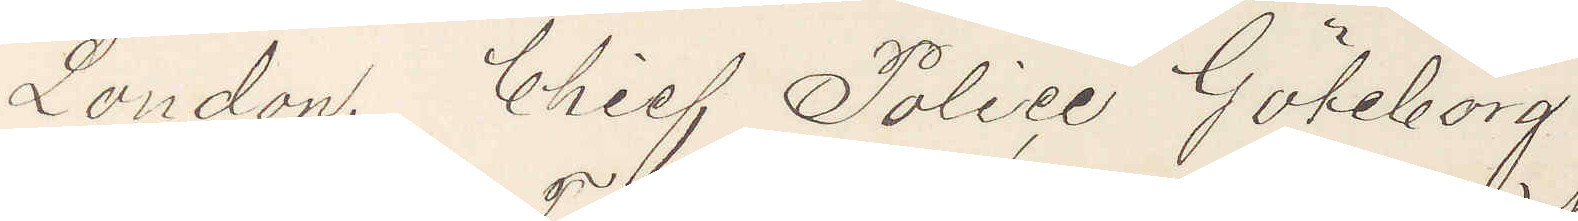London. Chief Police Göteborg.
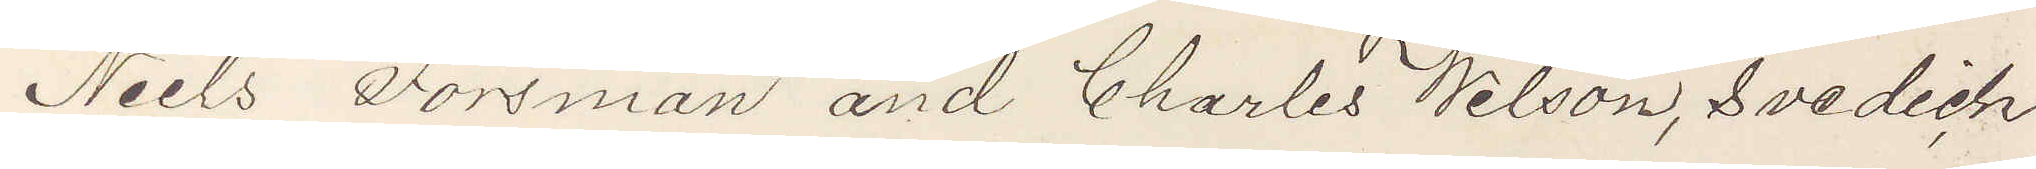Niels Forsman and Charles Wilson, Svedich
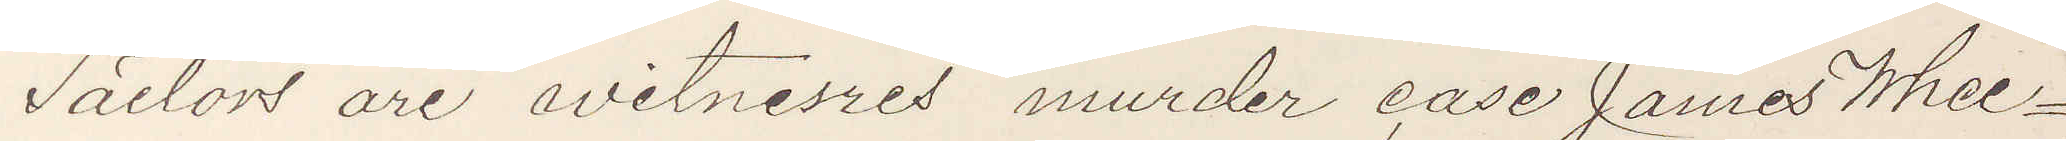Sailors are witnesses murder case James Whee¬
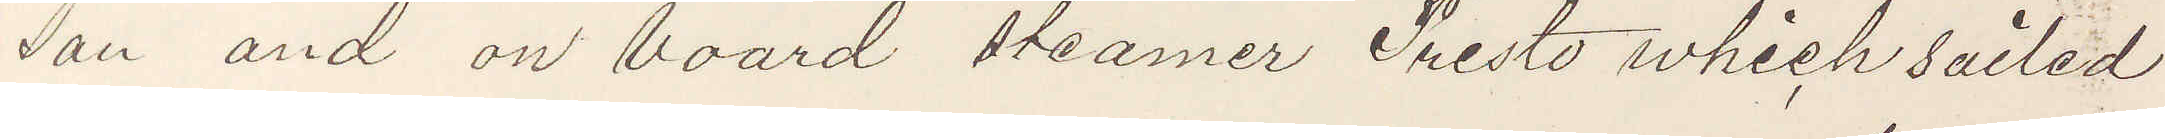son and on board steamer Presto which sailed
